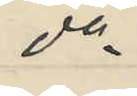do
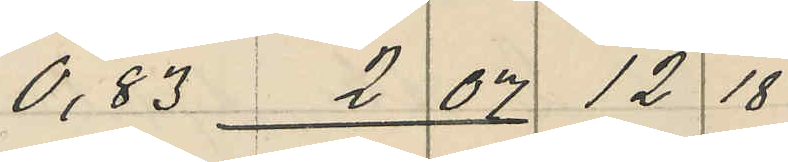0,83 2 07 12 18
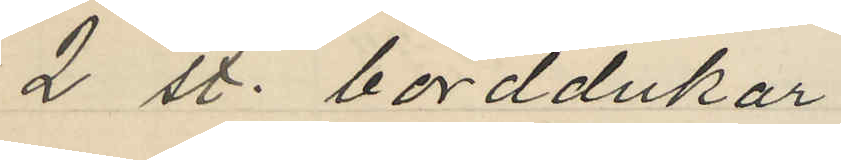2 st. borddukar
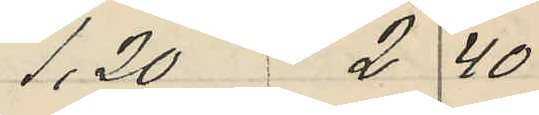1,20 2 40
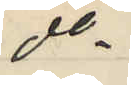do
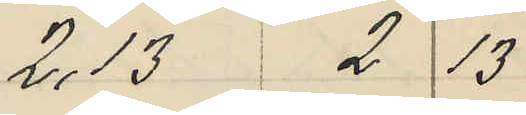2,13 2 13
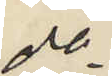do
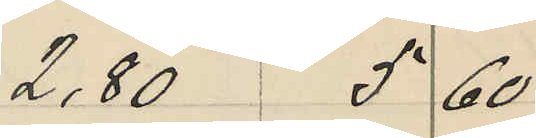2,80 5 60
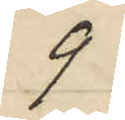9
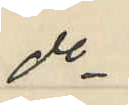do
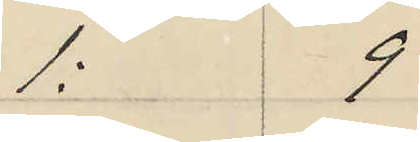1: 9
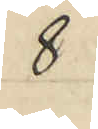8
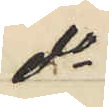do
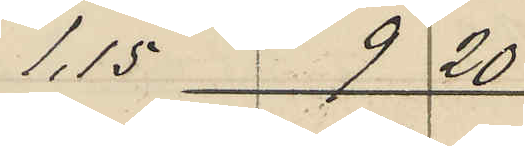1,15 9 20
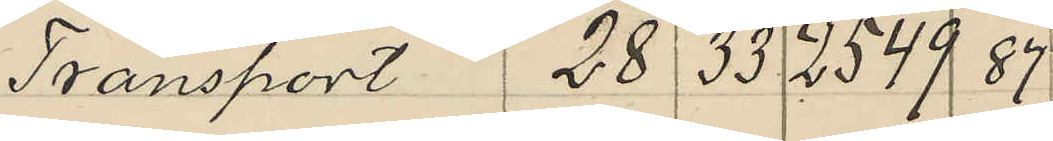Transport 28 33 2549 87
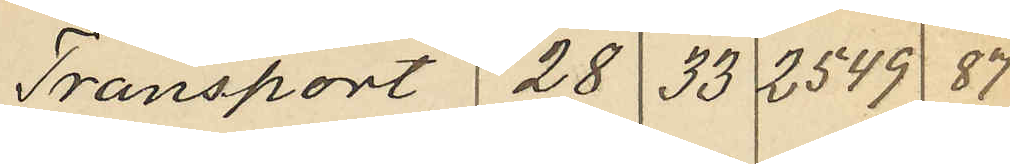Transport 28 33 2549 87
